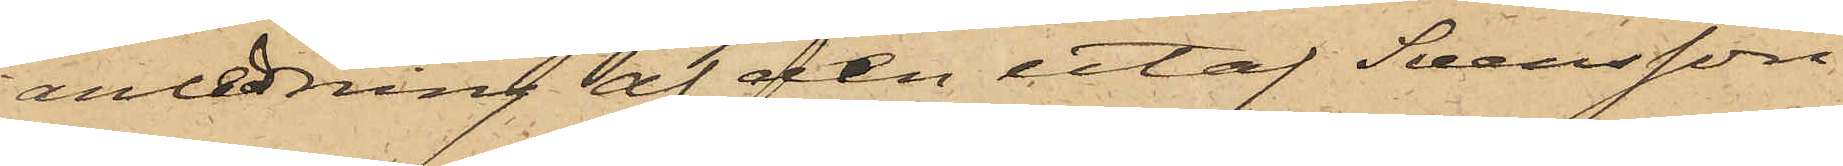i anledning af den utaf Svensson
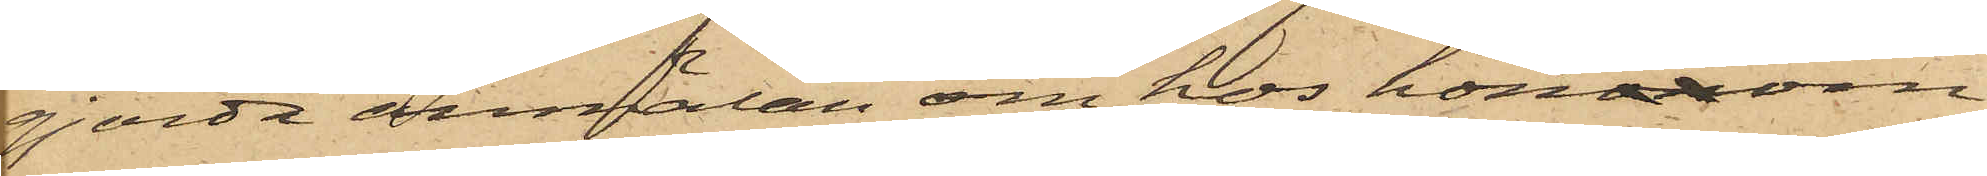gjorda anmälan om hos hononom
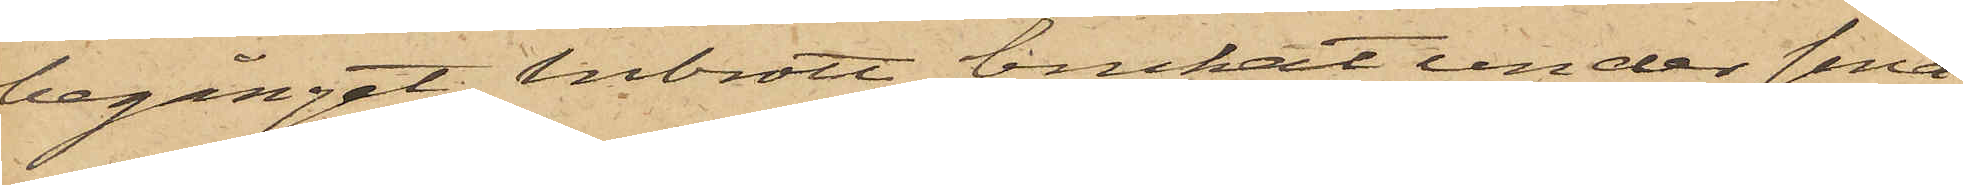begånget inbrott, brukat under sina
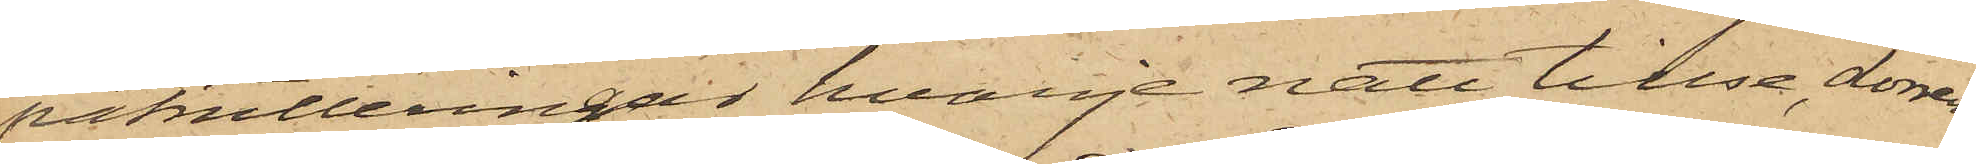patrulleringar hvarje natt tillse, dörren
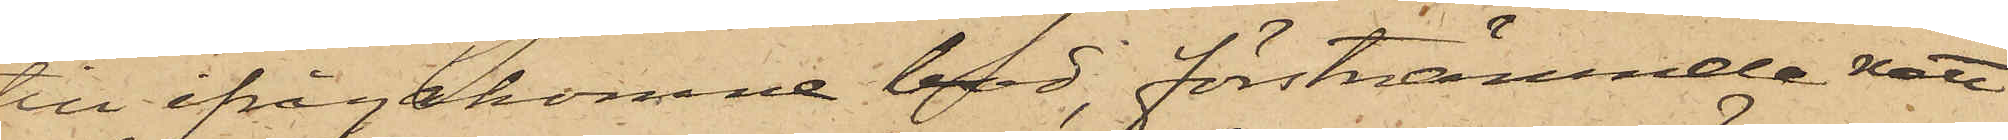till ifrågakomne bod, förstnämnde natt
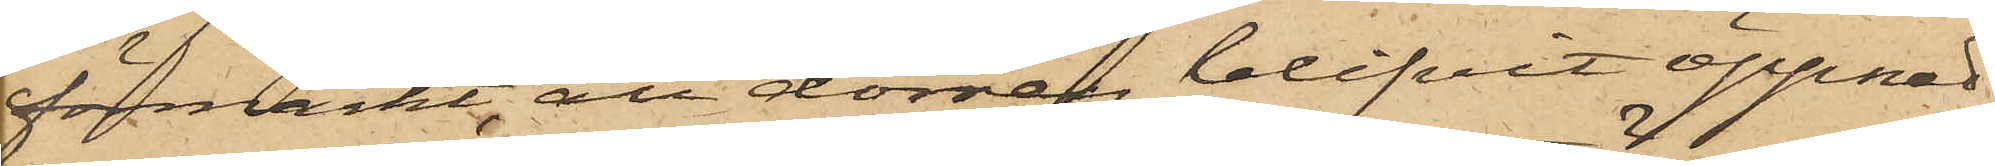förmärkt, att dörren blifvit öppnad,
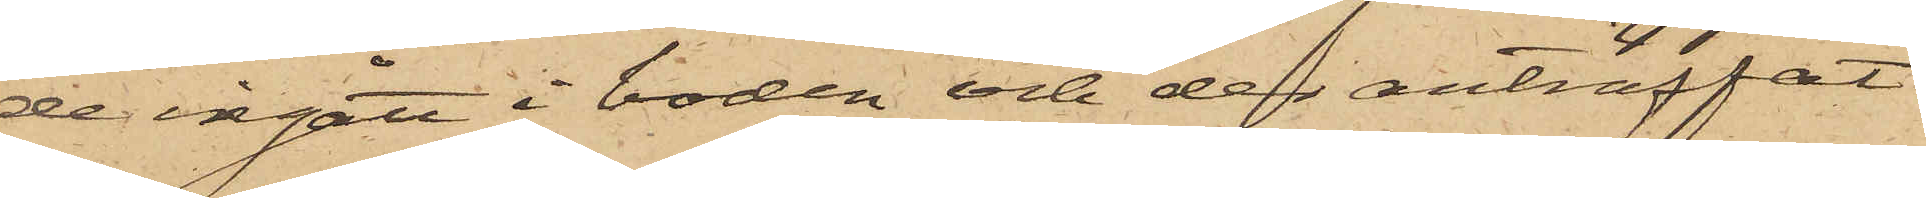de ingått i boden och der anträffat
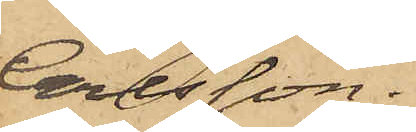Carlsson.
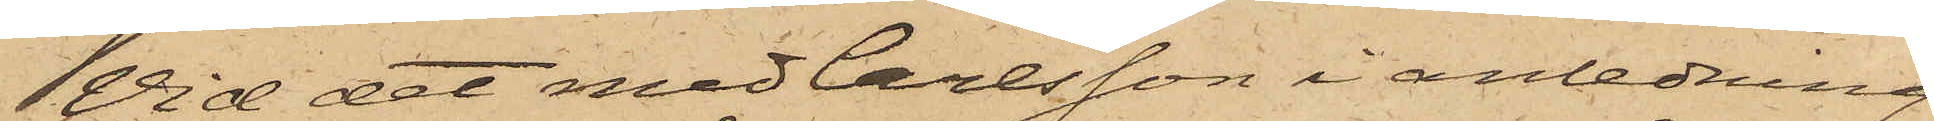Vid det med Carlsson i anledning
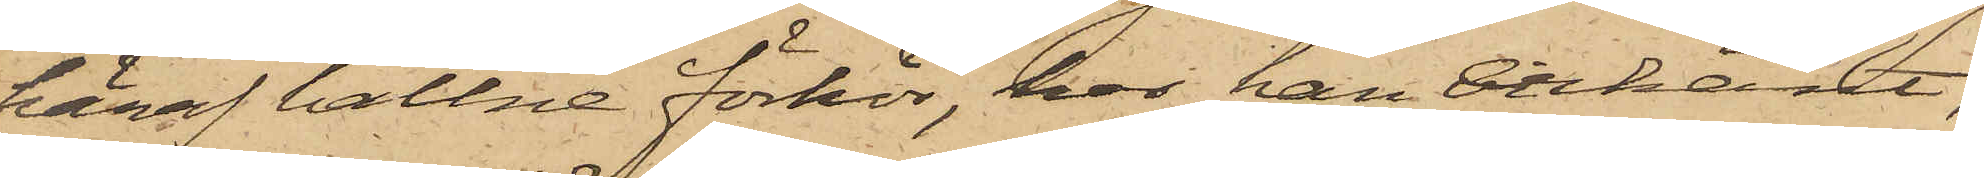häraf hållne förhör, har han erkänt,
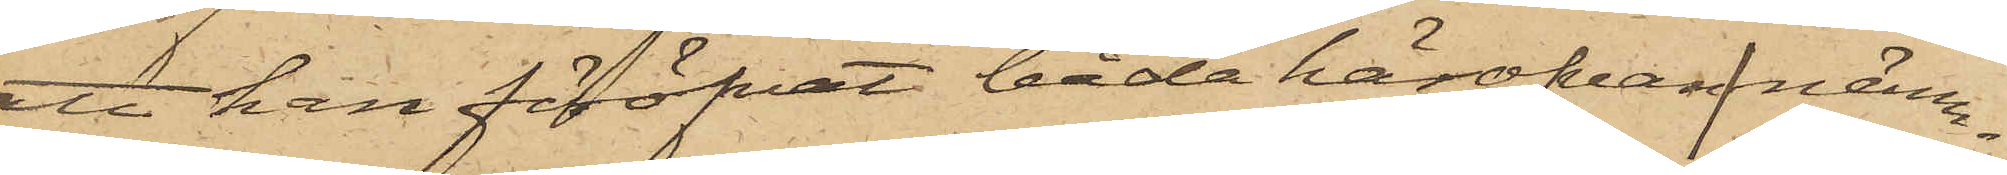att han föröfvat båda härofvannämn¬
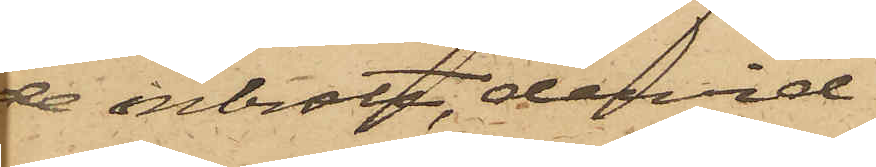de inbrott, dervid
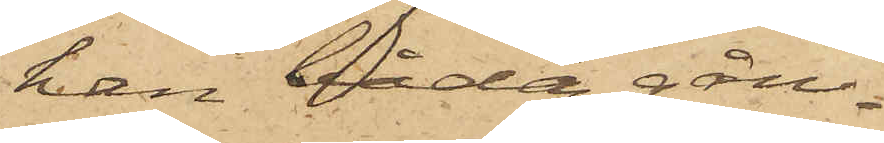han båda gån¬
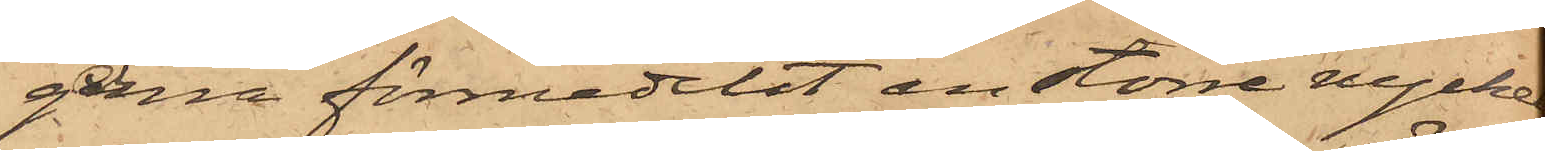gerna förmedelst en större nyckel
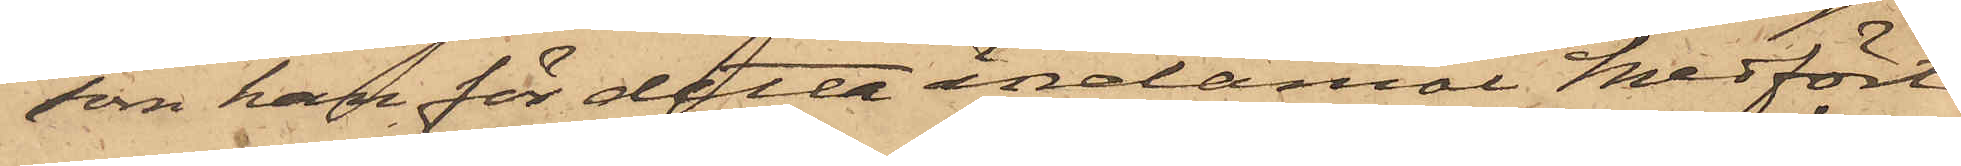som han för detta ändamål medfört,
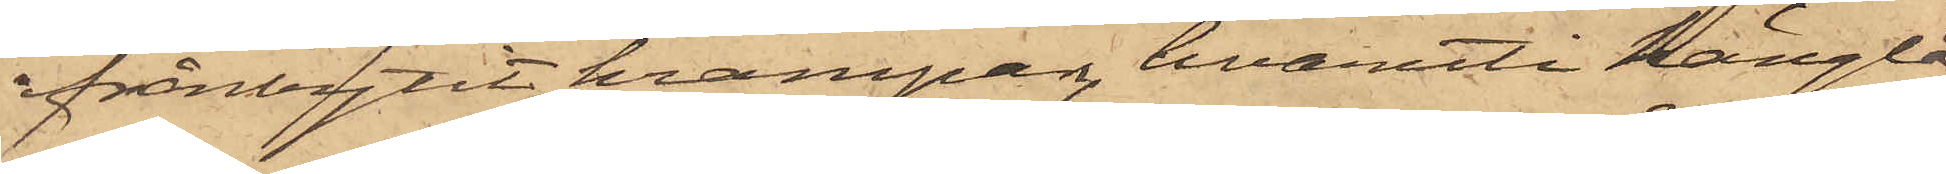frånbrytit krampan, hvaruti hänglå¬
